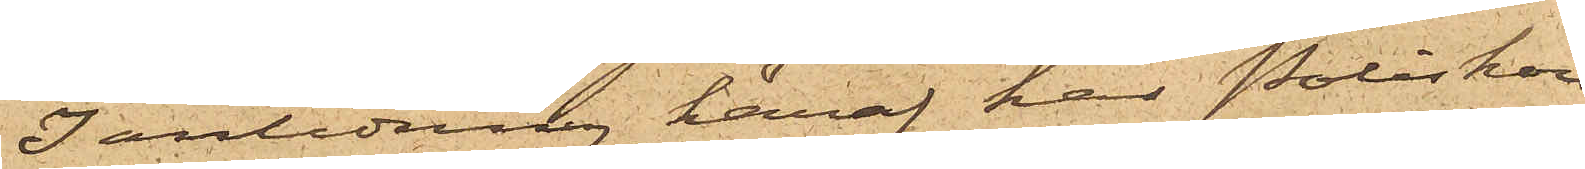I anledning häraf har Poliskon¬
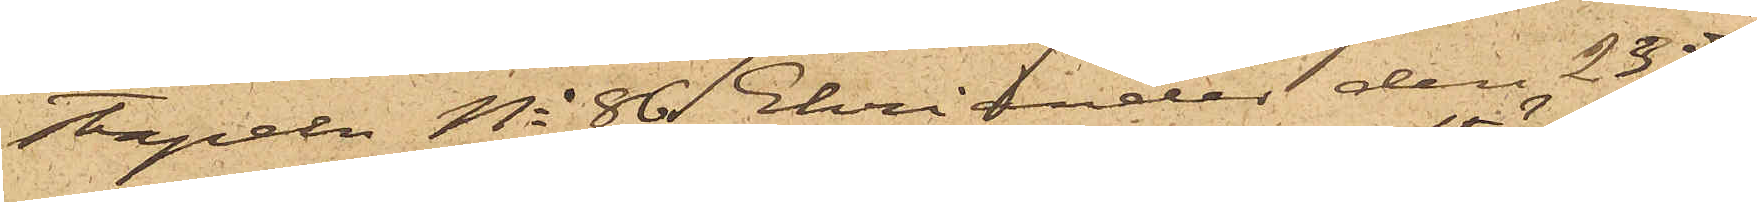stapeln No 86 Ehriander den 23 ds
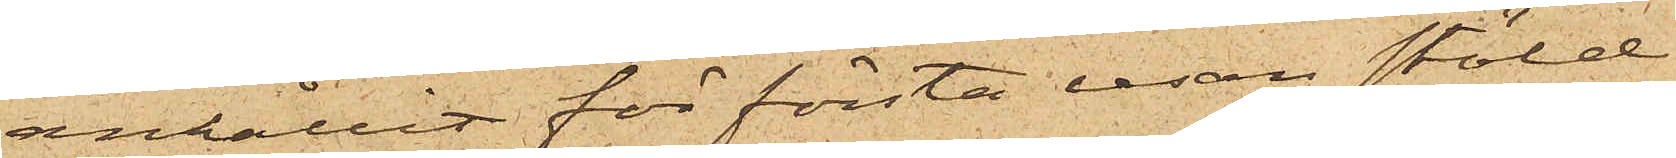anhållit för första resan stöld
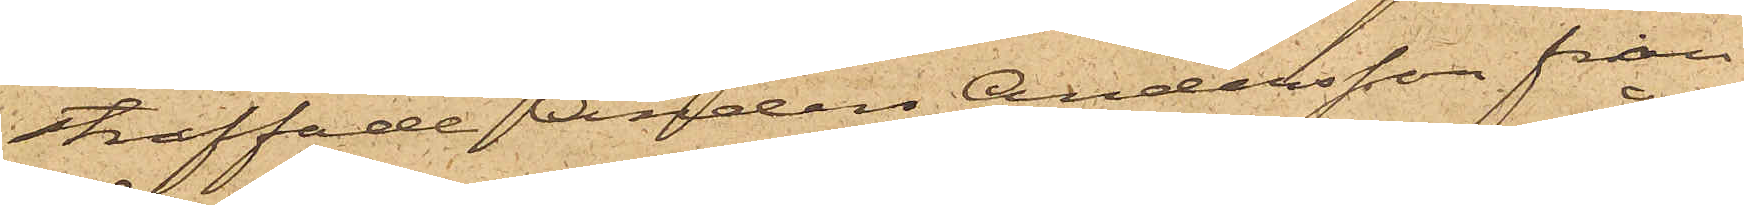straffade Anders Andersson från
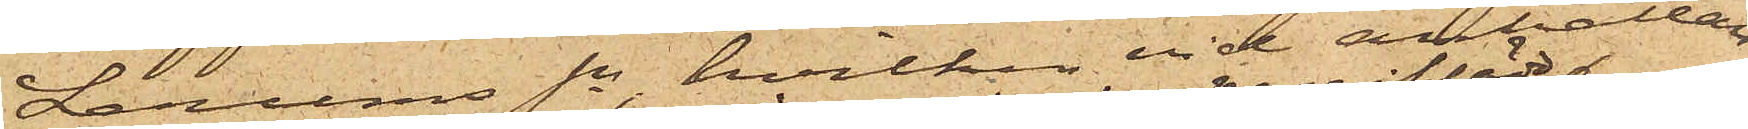Lerums Sn, hvilken vid anhållan¬
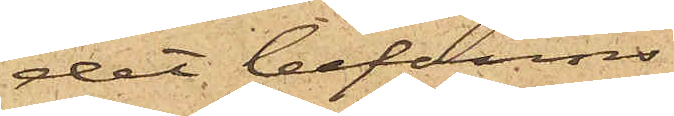det befanns
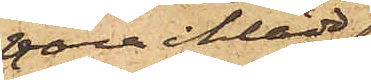vara iklädd
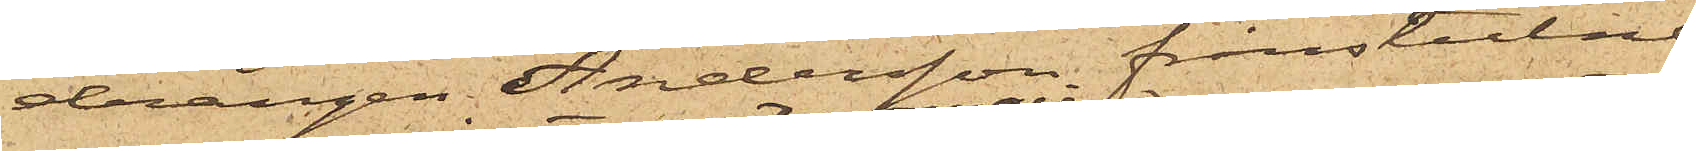drängen Andersson frånstulne
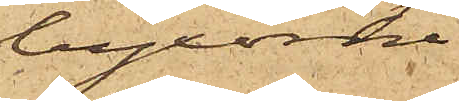byxorna
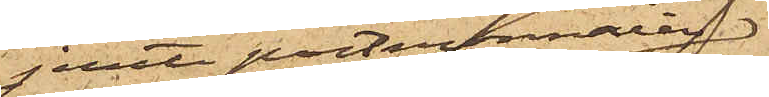jemte portmonnaien
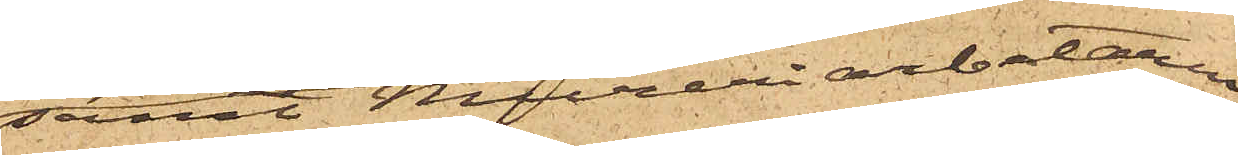samt Mureriarbetaren
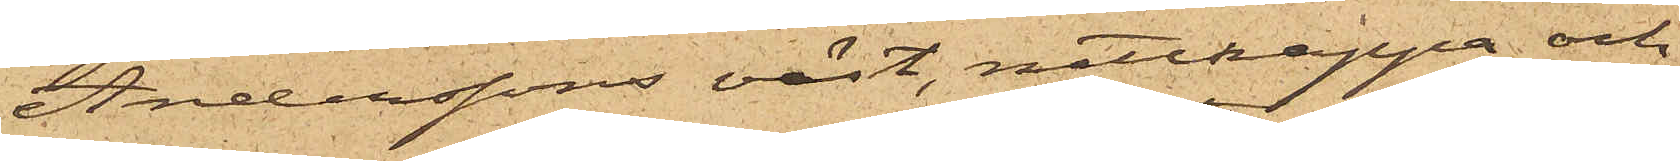Anderssons väst, nattkappa och
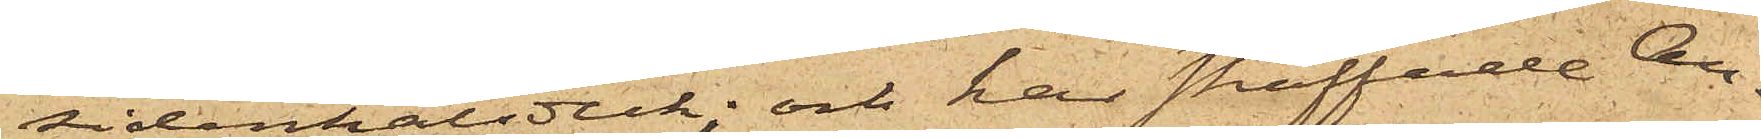sidenhalsduk; och har straffade An¬
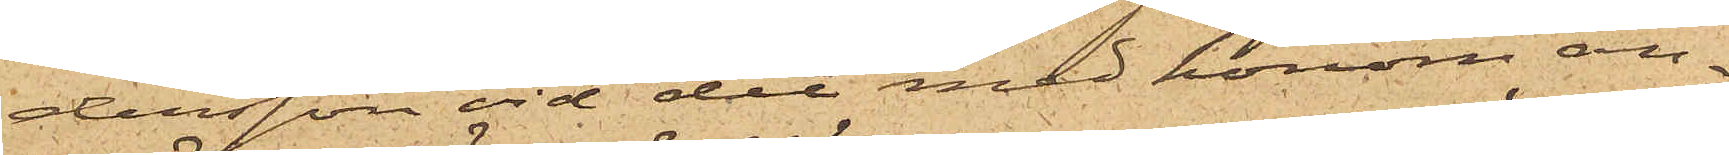dersson vid det med honom an¬
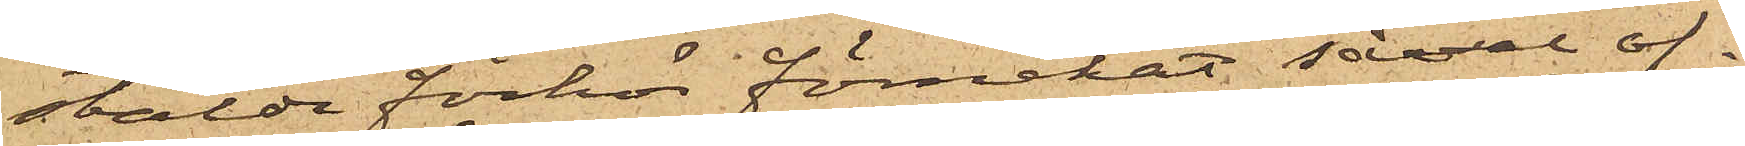stälde förhör förnekat såväl of¬
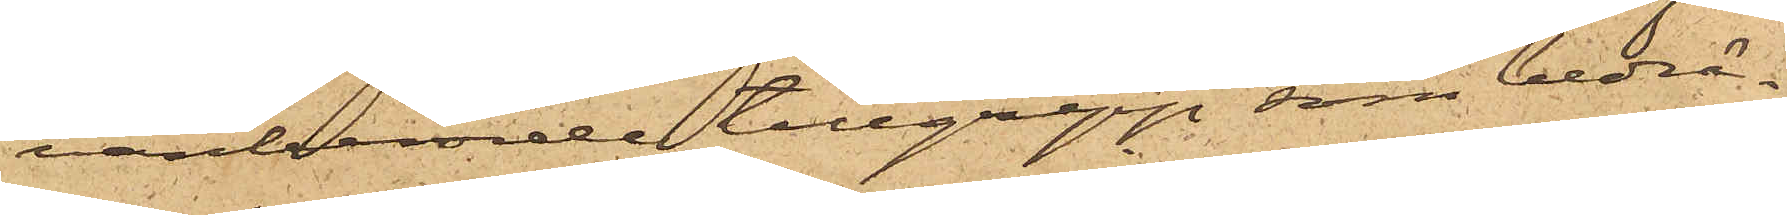vanberörde tillgrepp, som bedrä¬
